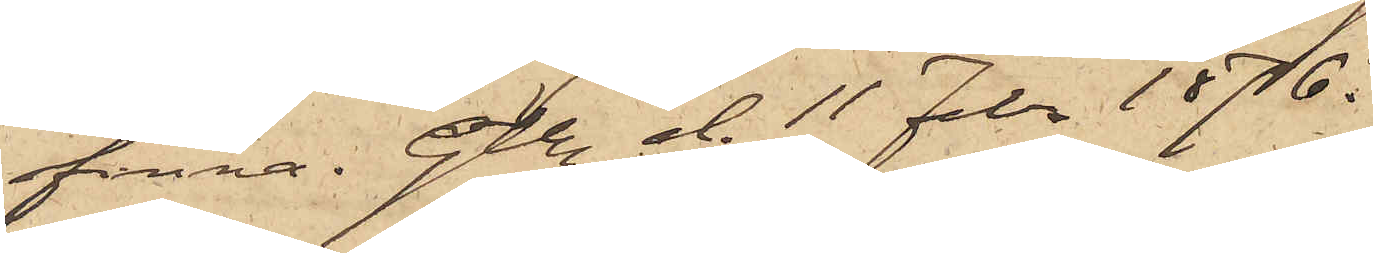finna. Gtbg d. 11 Febr 1876.
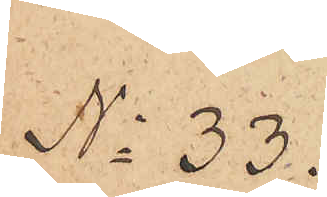No 33.
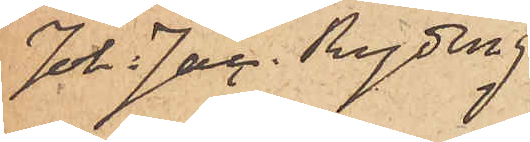Joh. Jac. Ryding
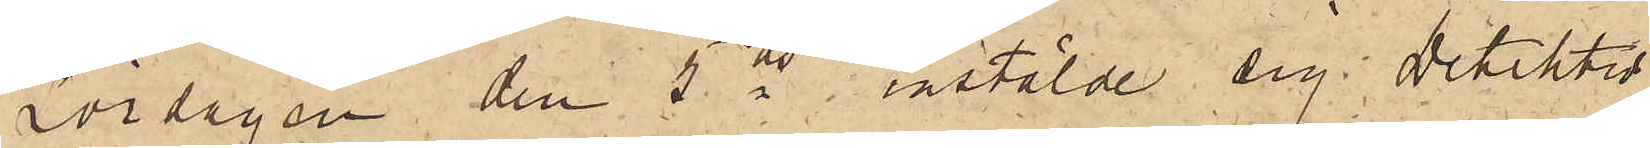Lördagen den 5 ds instälde sig Detektiv-
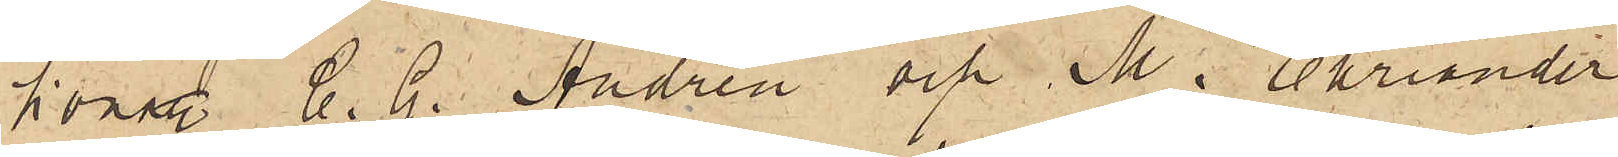konstl C. G. Andrén och M. Ehriander
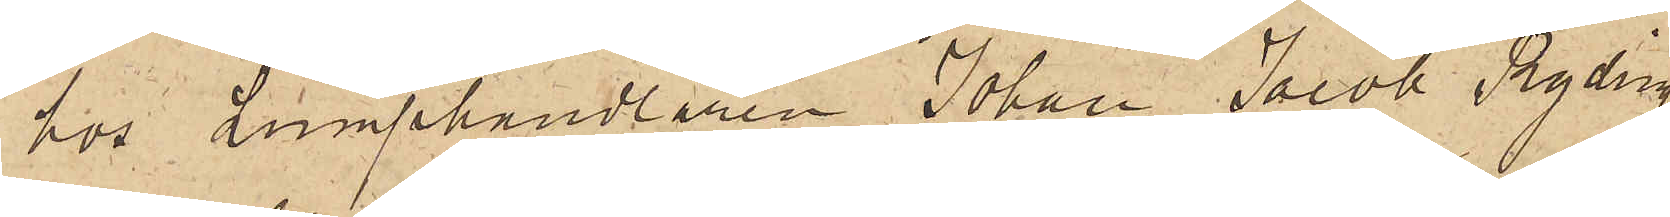hos Lumphandlaren Johan Jacob Ryding
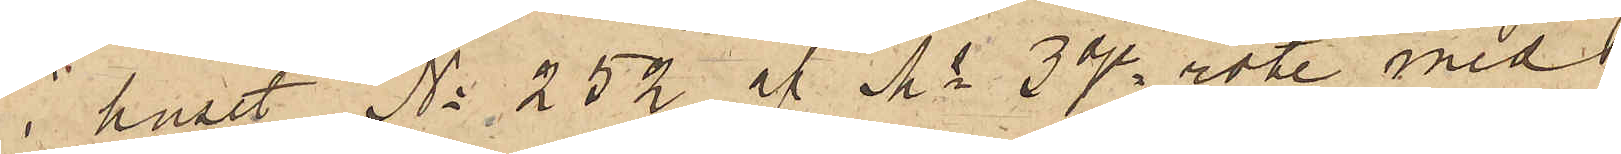i huset No 252 af Ms 3dje rote med
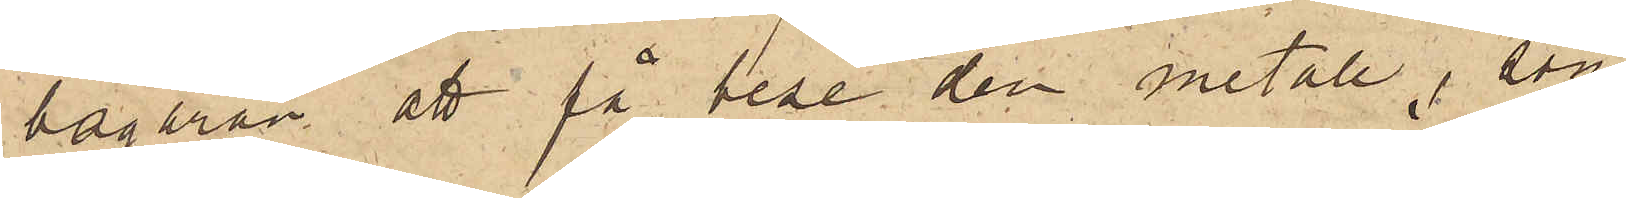begäran att få bese den metall, som
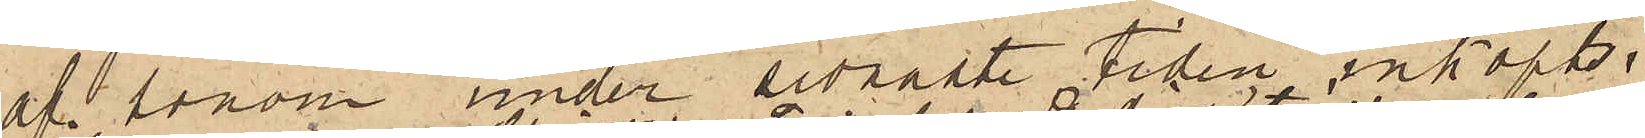af honom under sednaste tiden inköpts,
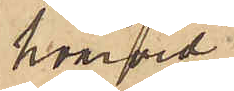hvarvid
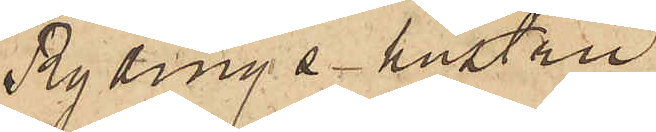Rydings hustru
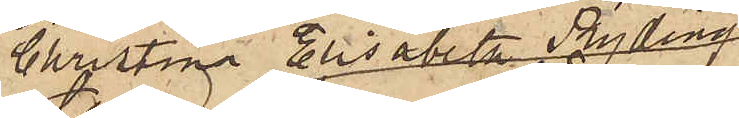Christina Elisabeth Ryding,
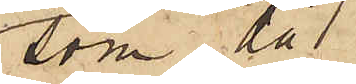som då
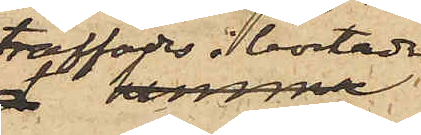träffades i bostaden
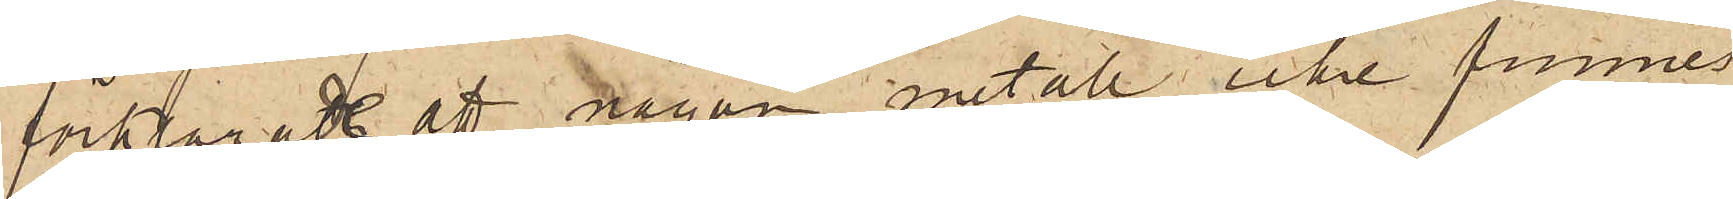förklarade att någon metall icke funnes
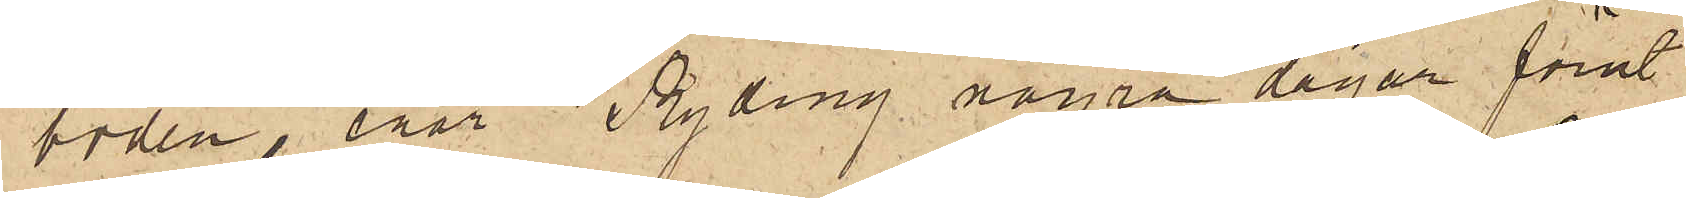i boden, enär Ryding några dagar förut
